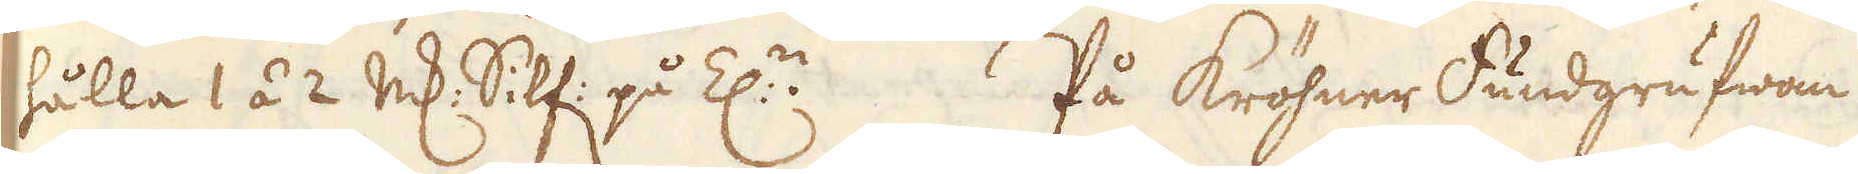hålla 1 á 2 marker Silf: på Z:n På kröhner Fundgrufwan
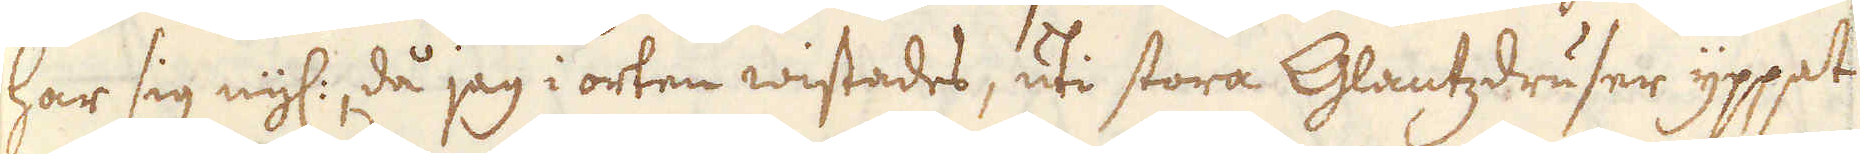har sig nyl:, då jag i orten wistades, uti stora Glantzdruser yppat
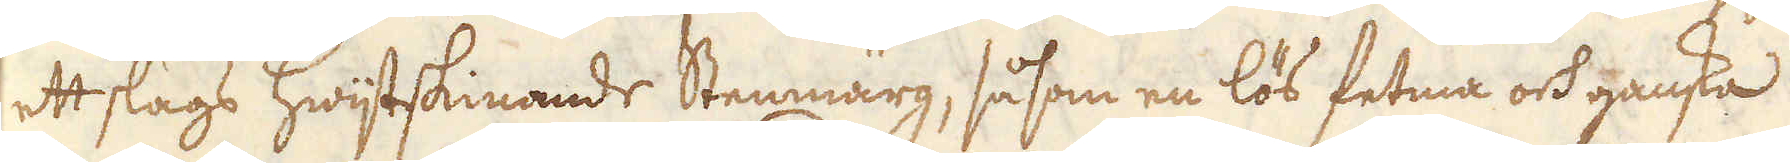ett slags hwijtskinande Stenmärg, så som en lös fetma och ganska
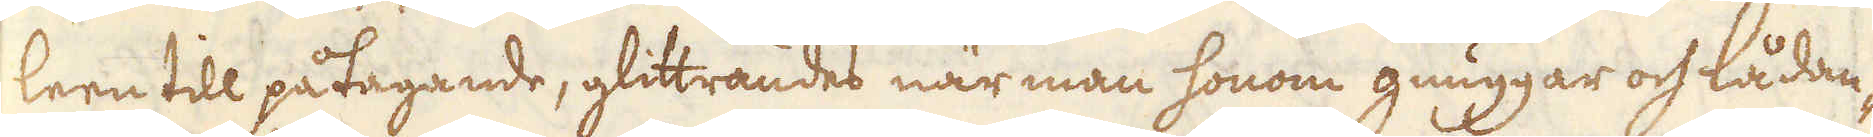leen till påtagande, glittrandes när man honom gnuggar och lådan-
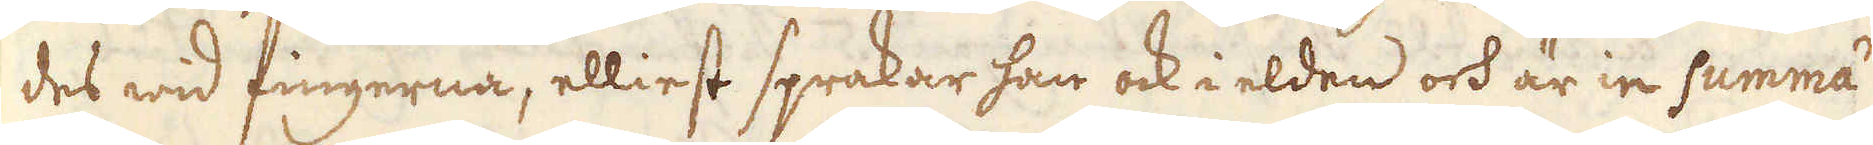des wid fingerna, elliest sprakar han ock i elden och är in summa
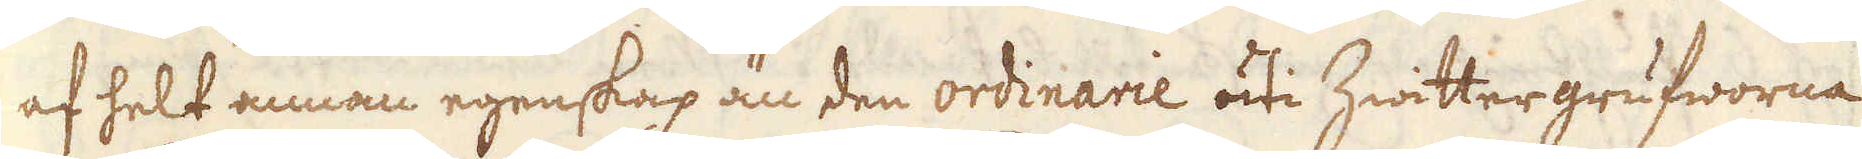af helt annan egenskap än den ordinarie uti hwittergrufworna
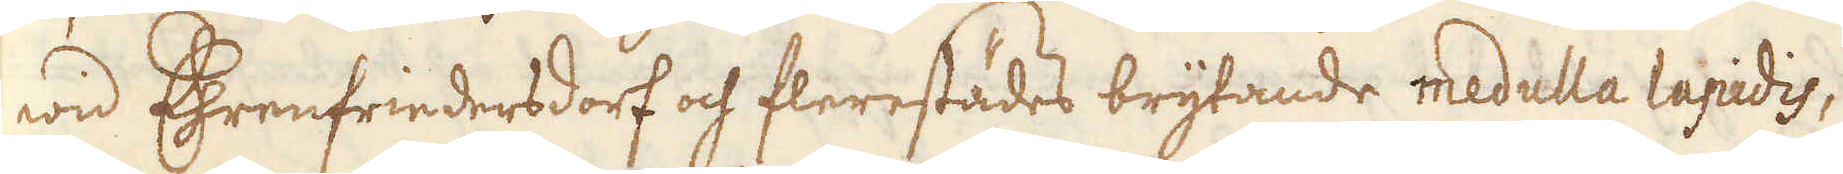wid Chrenfrindersdorf och flerestädes brytande medulla lapidis,
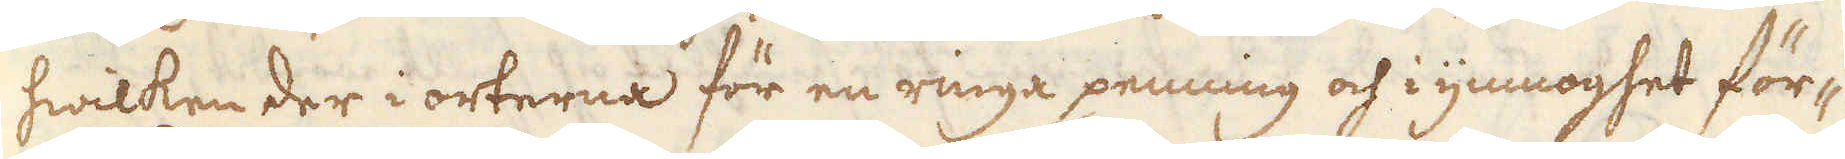hwilken der i orterna för en ringa penning och i ymnoghet för-
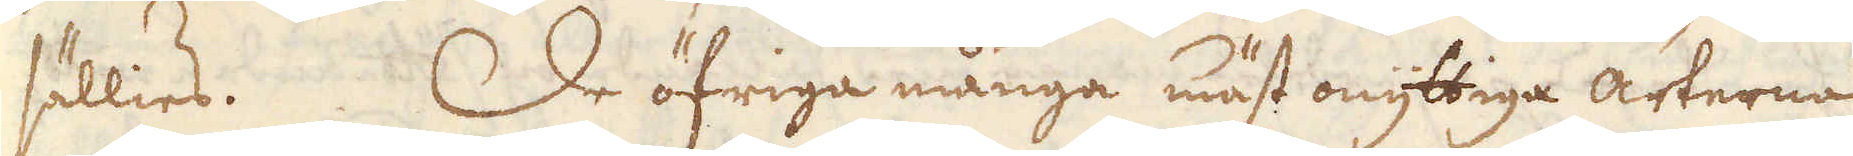sällies. De öfriga många mäst onyttiga arterne
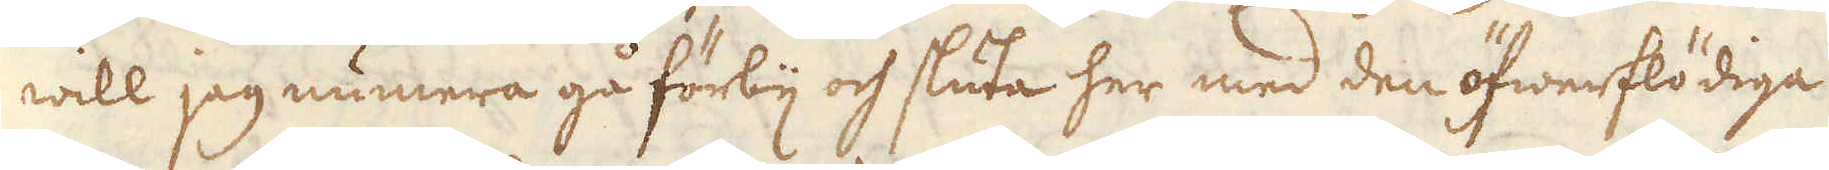will jeg numera gå förbiij och sluta her med den öfwerflödiga
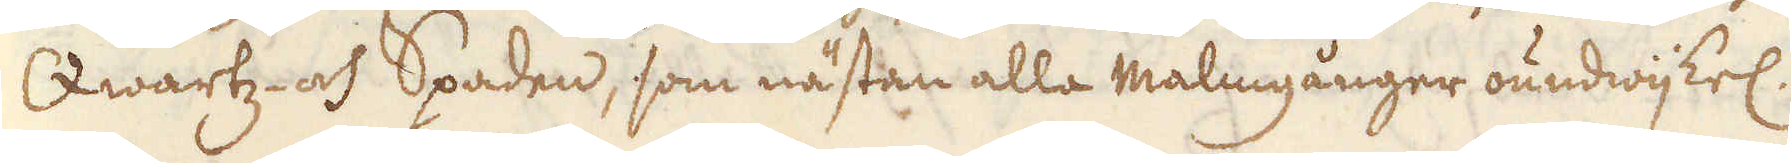Qwartz- och Spaden, som nästan alla malmgånger oundwijkel:
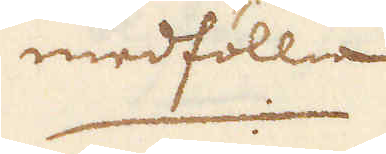medföllia
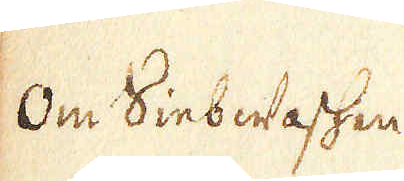Om SinbWaschen
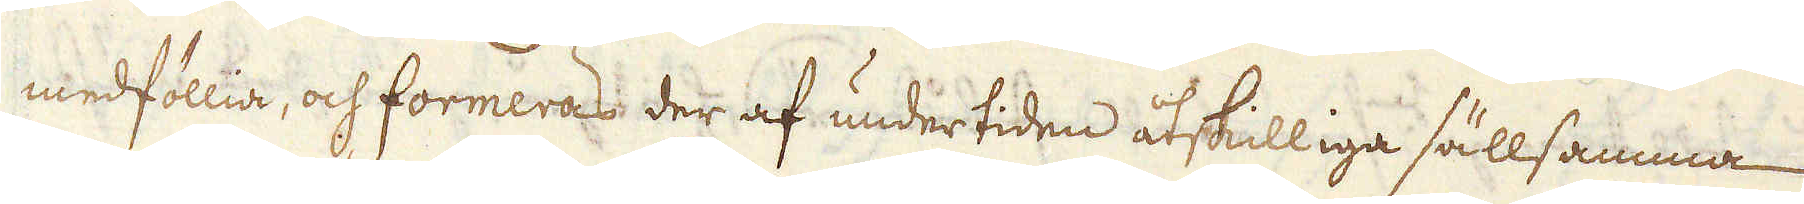medföllia, och formeras der af undertiden åtskilliga sällsamma
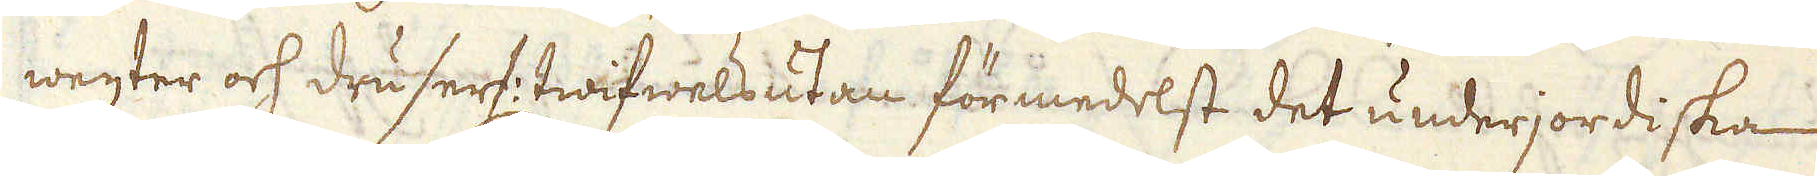wexter och druser: twifwelsutan för medelst det underjordiska
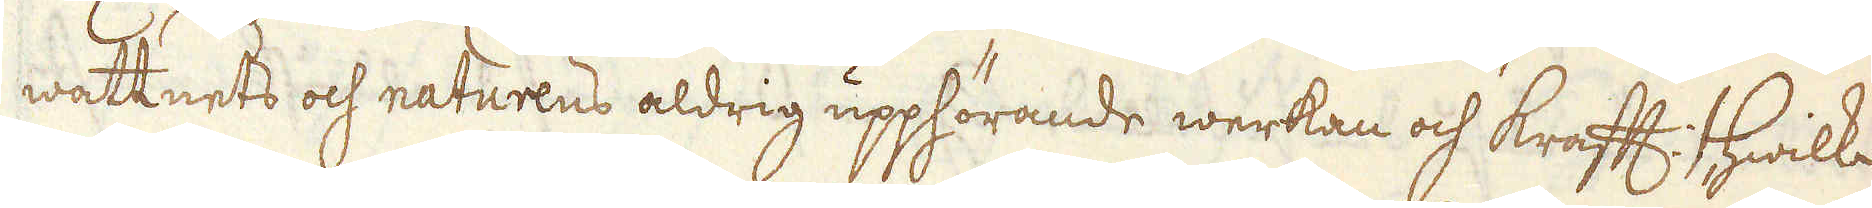wattnets och naturens aldrig upphörande werkan och kraft, hwilka
